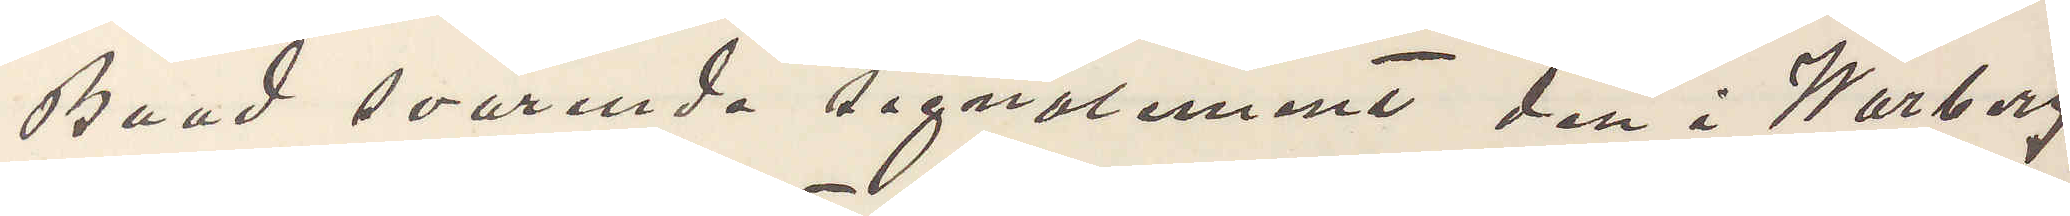Baad svarende signalement den i Warberg
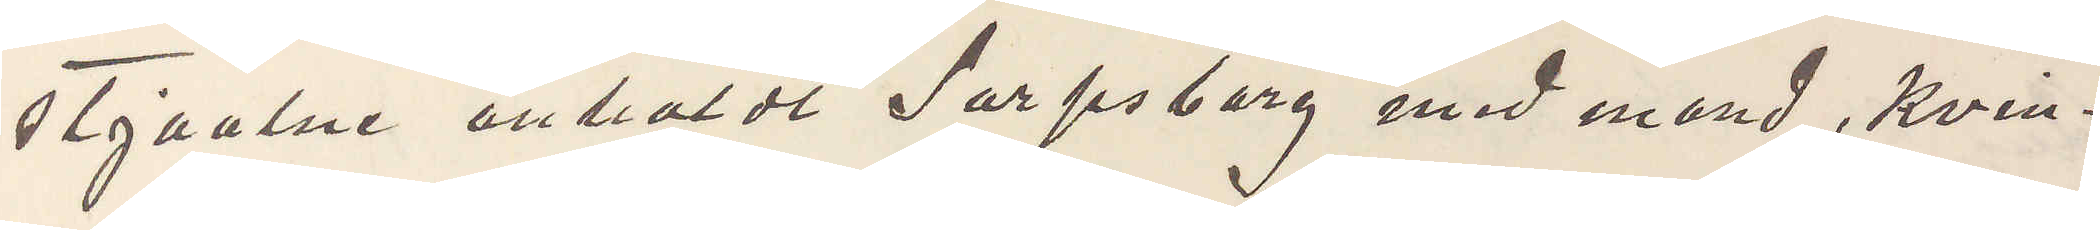stjaalne anholdt Sarpsborg med mand, Kvin¬
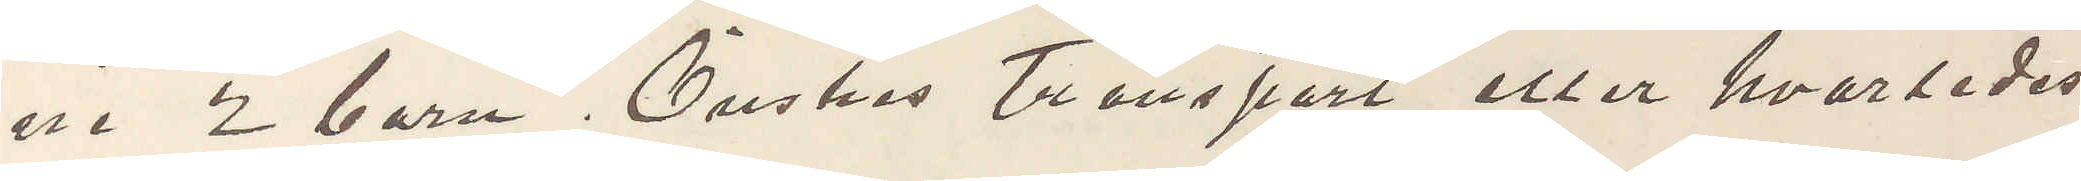ne 2 barn. Önskes transport eller hvarledes
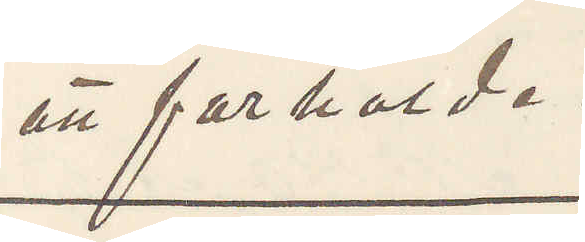att forholde.
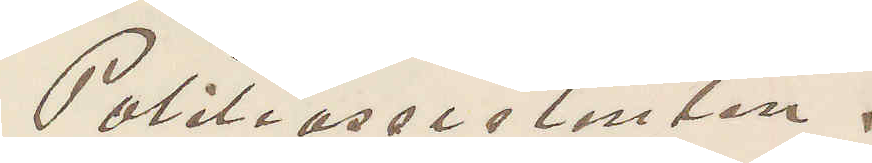Politiassistenten.
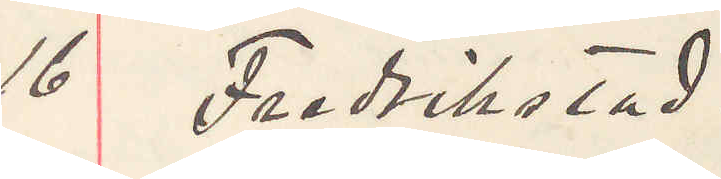16 Fredrikstad.
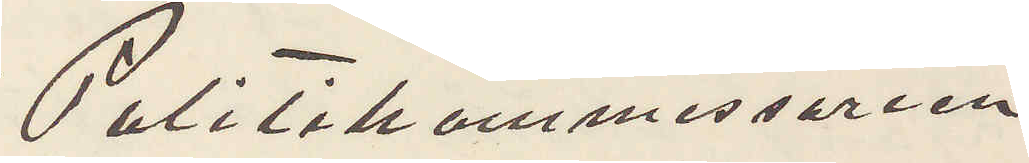Politikammeren
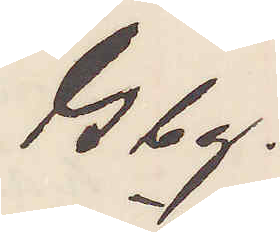Gbg.
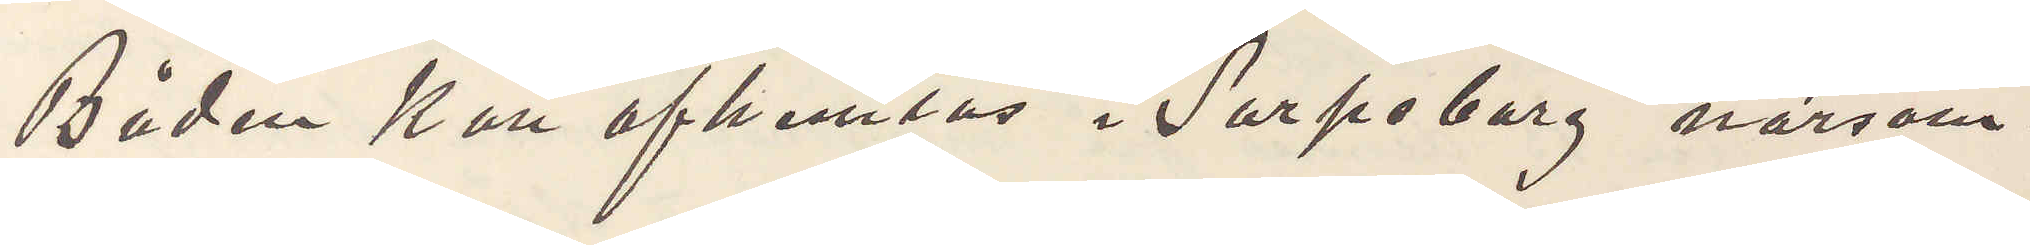Båden kan afhemtas i Sarpsborg närsom¬
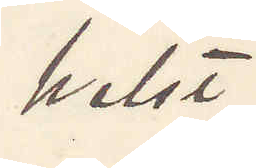helst.
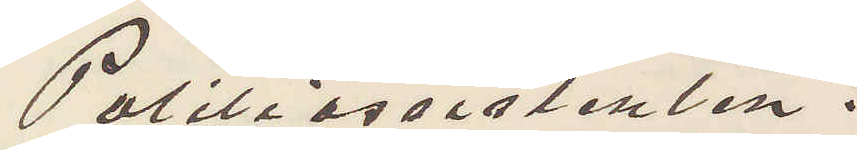Politiassistenten.
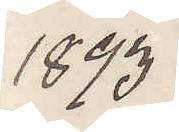1893
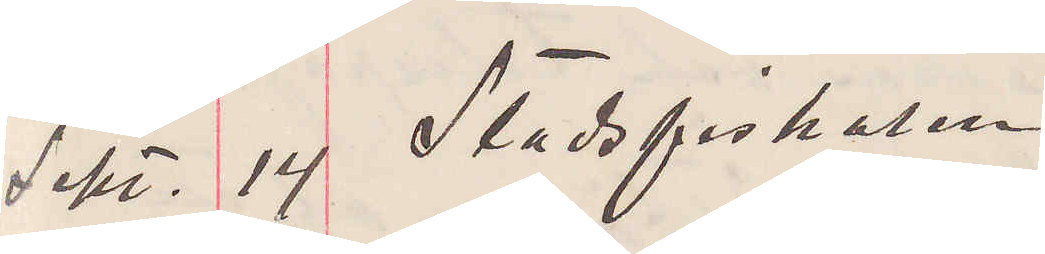Sept. 14 Stadsfiskalen
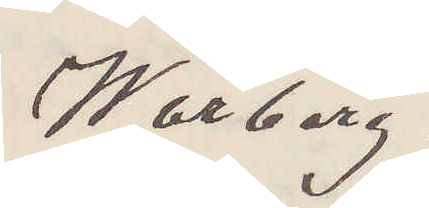Warberg.
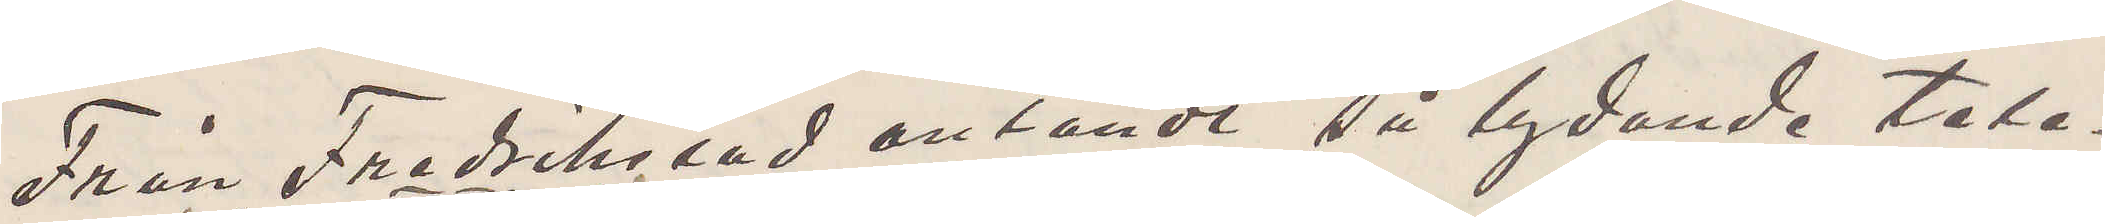Från Fredrikstad anländt så lydande tele¬
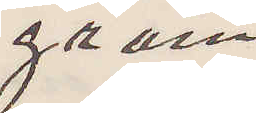gram
